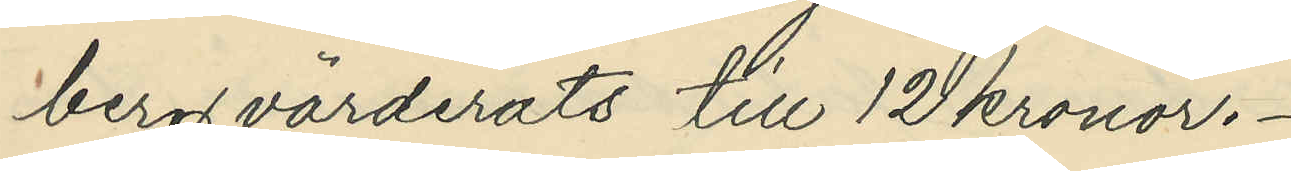berg värderats till 12 kronor.
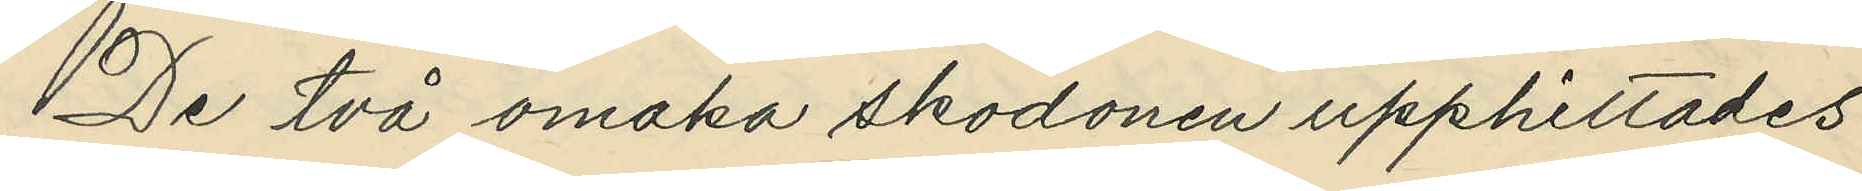De två omaka skodonen upphittades
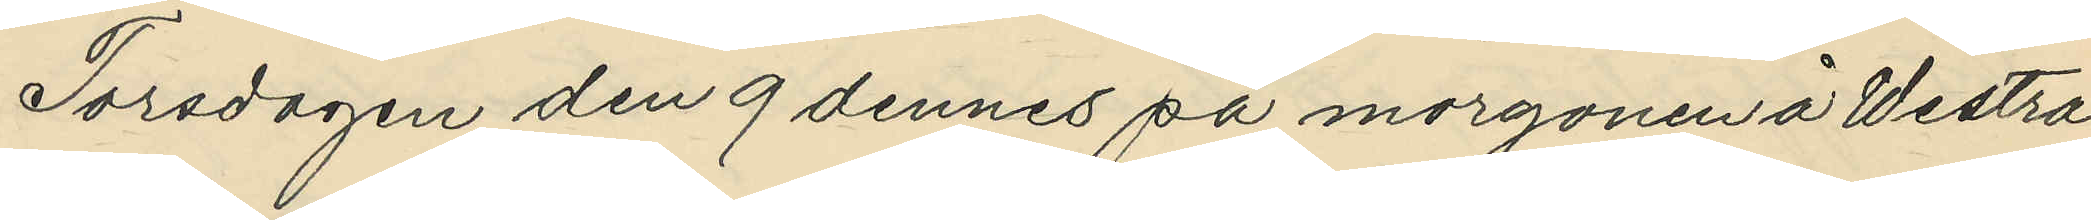Torsdagen den 9 dennes på morgonen å Westra
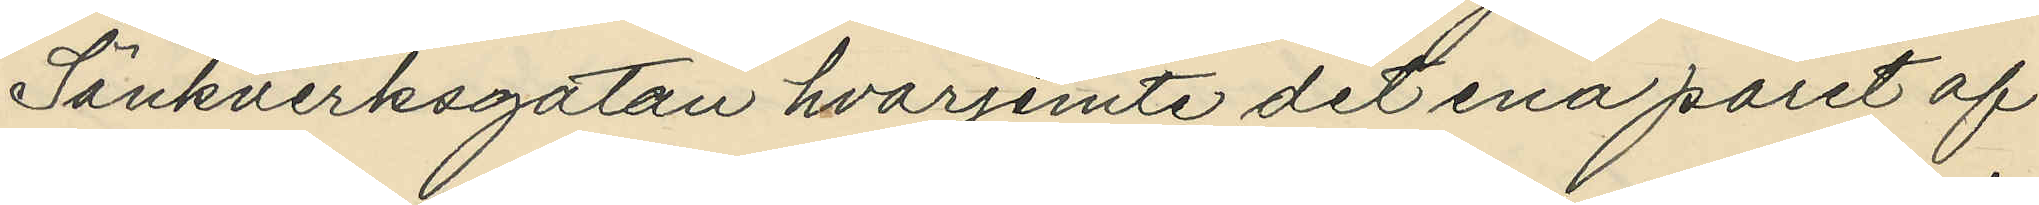Sänkverksgatan hvarjemte det ena paret af
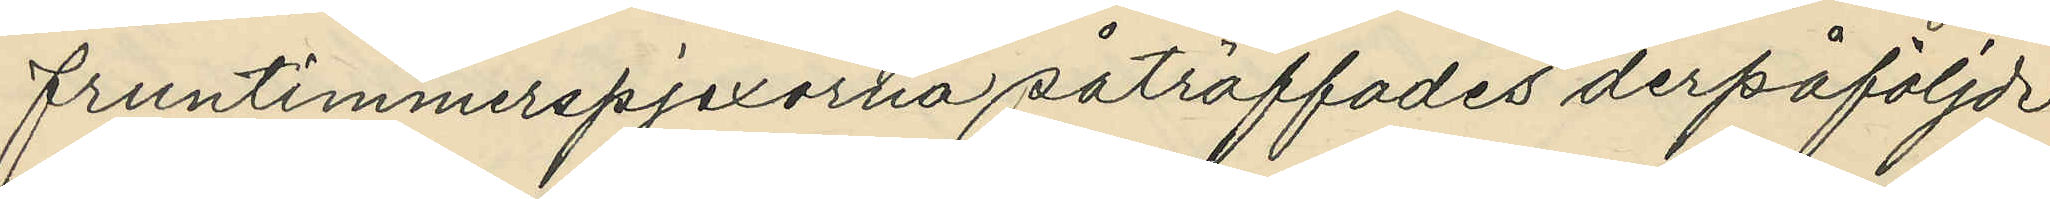fruntimmerspjexorna påträffades derpåföljde
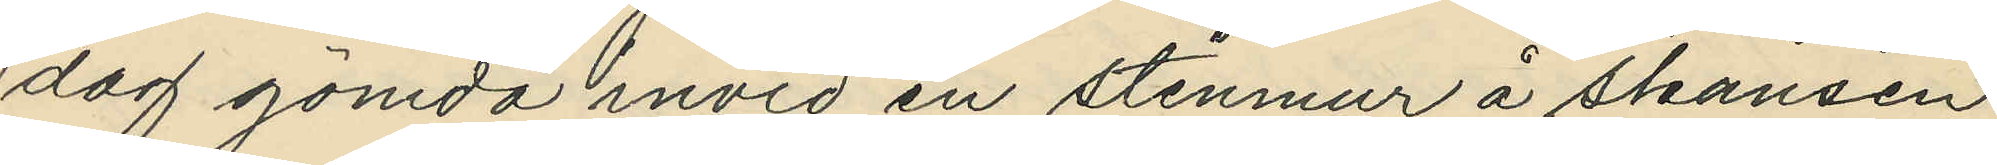dag gömda invid en stenmur å skansen
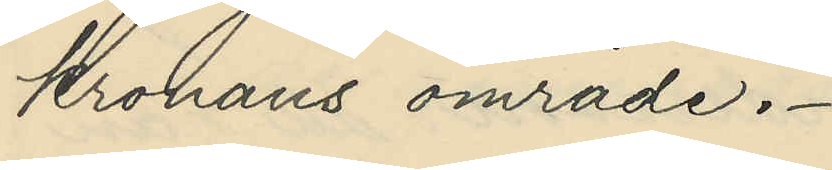kronans område.
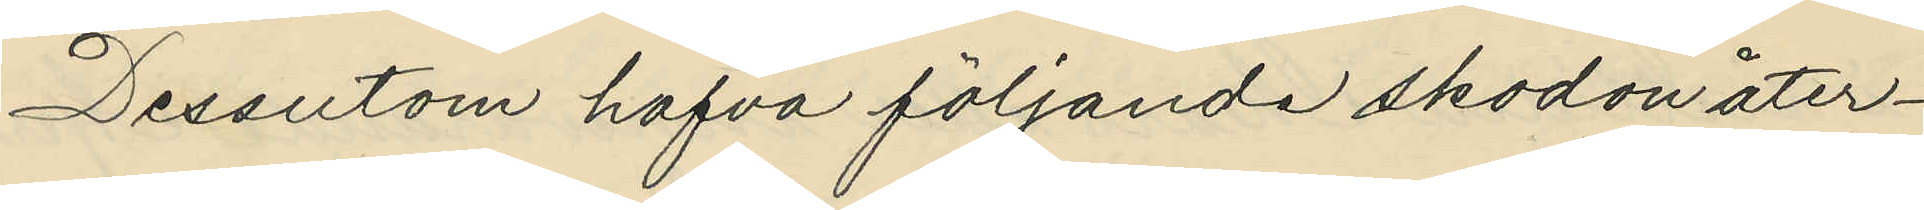Dessutom hafva följande skodon åter¬
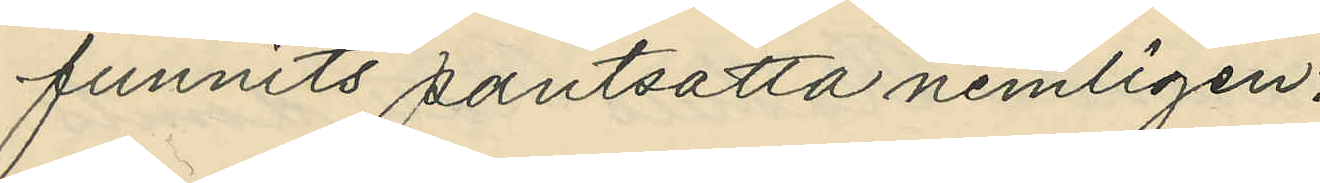funnits pantsatta nemligen:
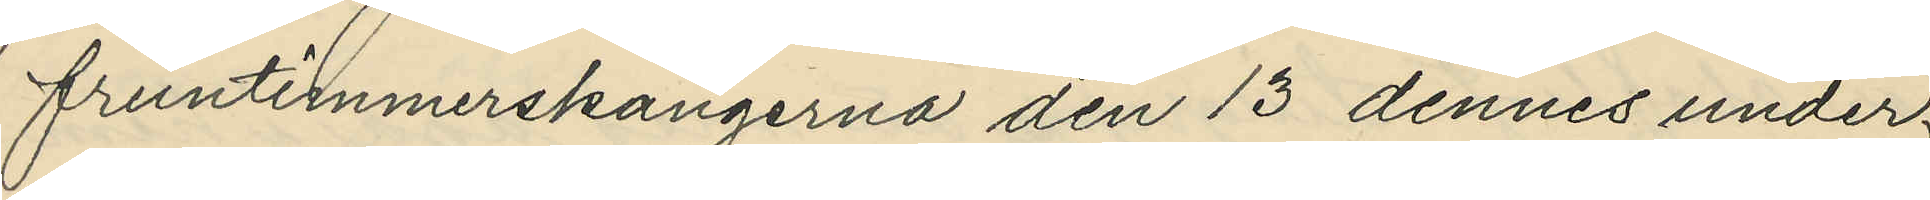fruntimmerskängerna den 13 dennes under
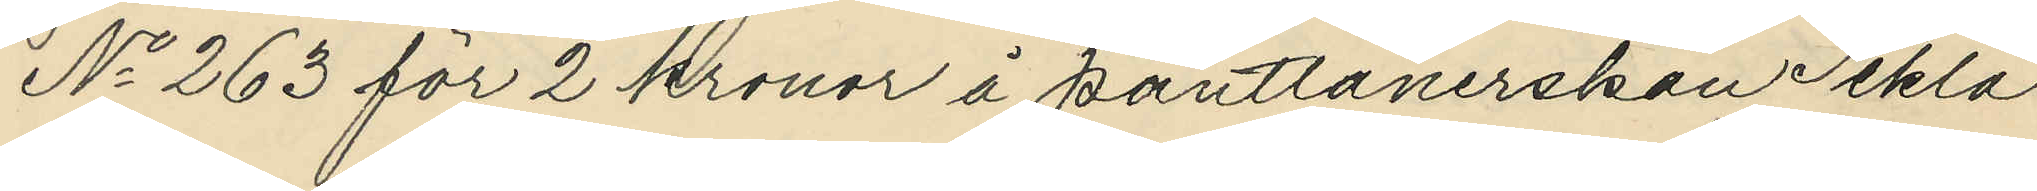No 263 för 2 kronor å pantlånerskan Tekla 
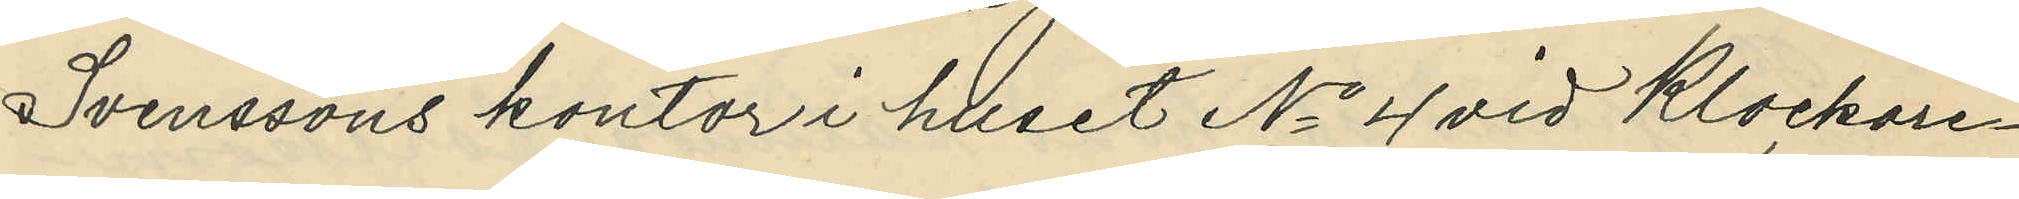Svenssons kontor i huset No 4 vid Klockare¬
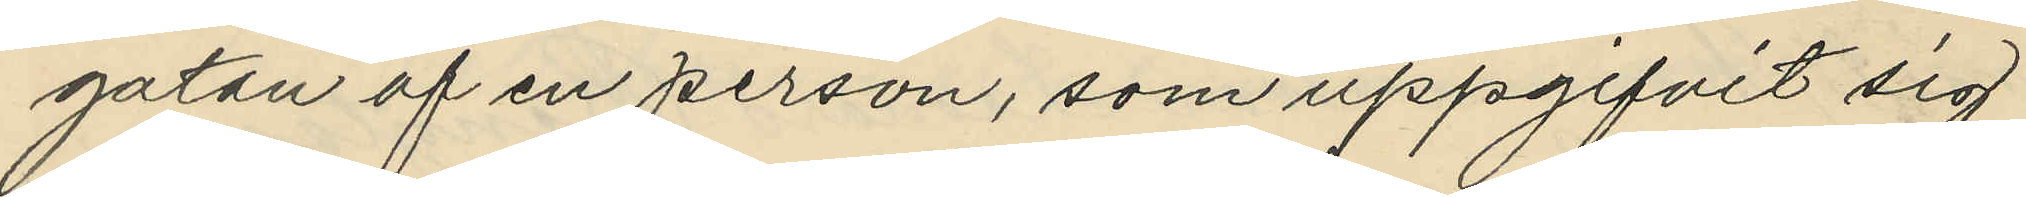gatan af en person, som uppgifvit sig
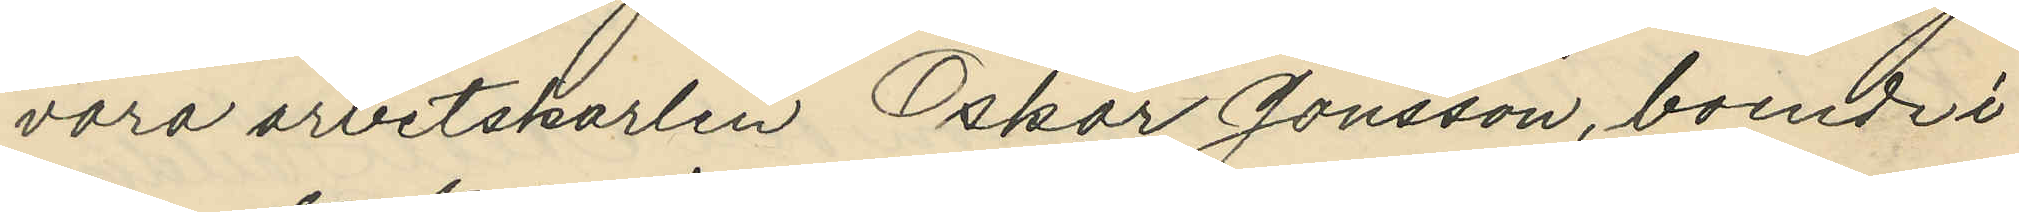vara arbetskarlen Oskar Jonsson, boende i 
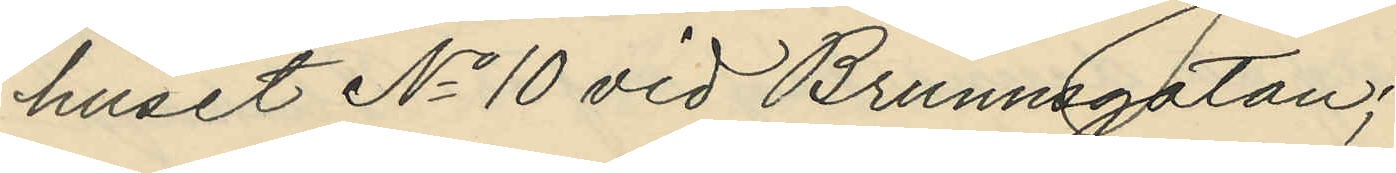huset No 10 vid Brunnsgatan;
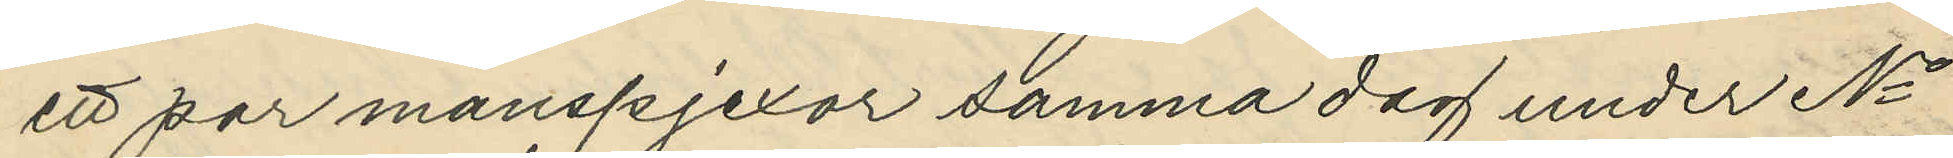ett par manspjexor samma dag under No
